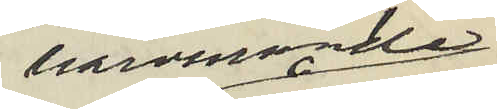härvarande
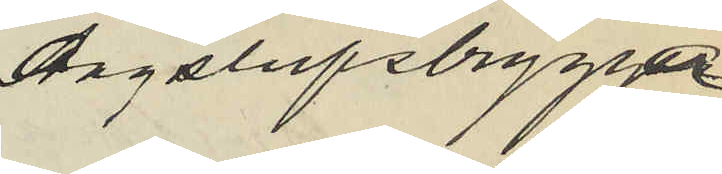Ångslupsbrygga
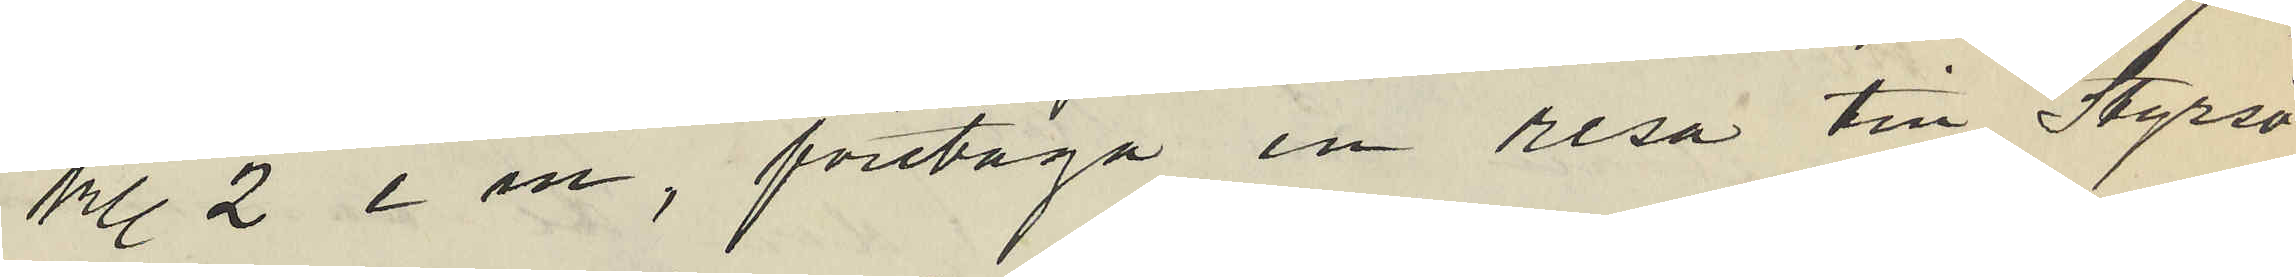kl. 2 e m, företaga en resa till Styrsö
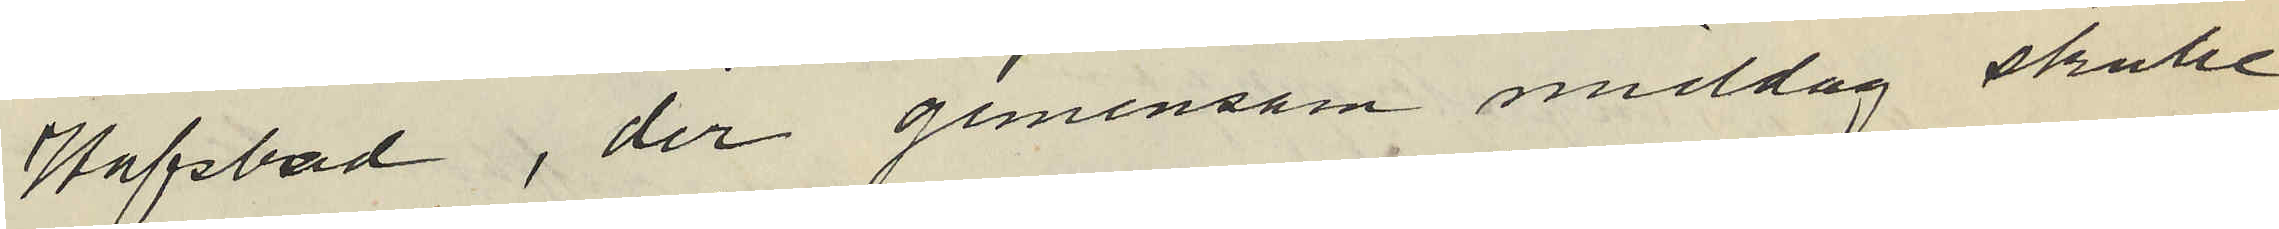Hafsbad, der gemensam middag skulle
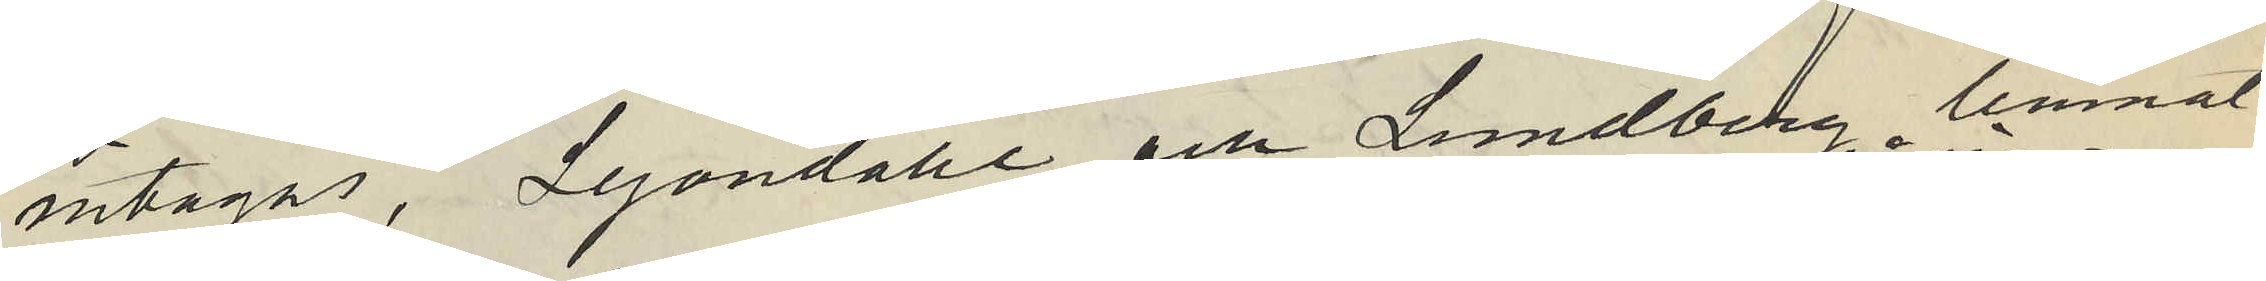intagas, Lejondahl och Lundberg lemnat
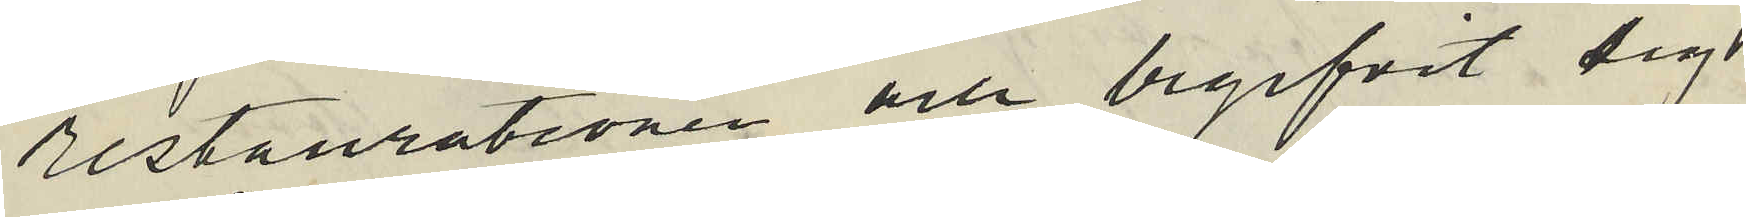restaurationen och begifvit sig
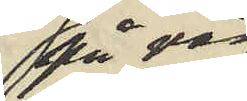på väg
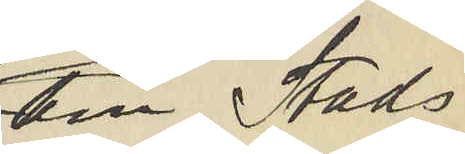till Stads
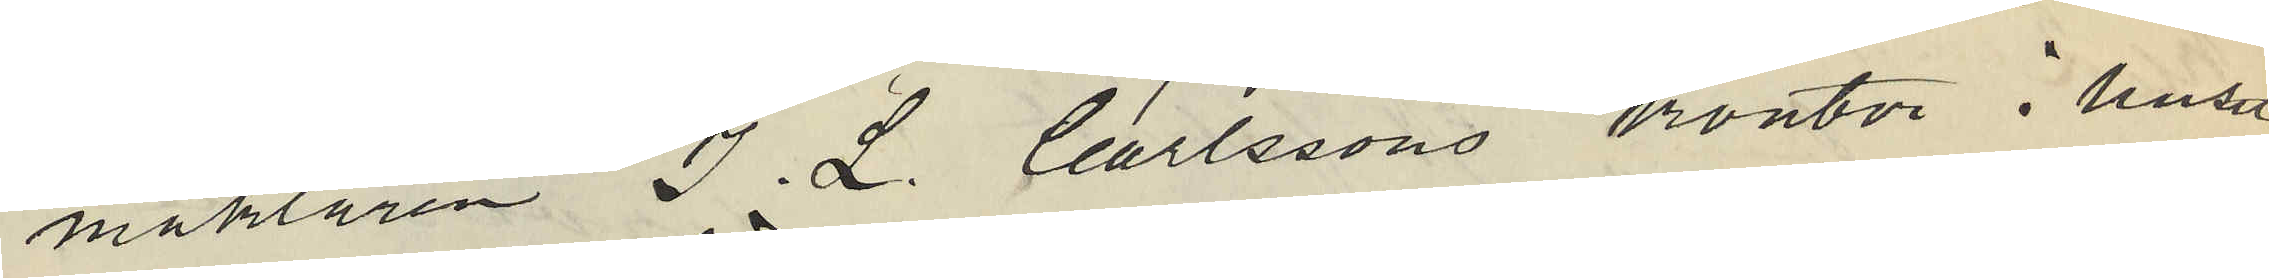mäklaren J. L. Carlssons kontor i huset
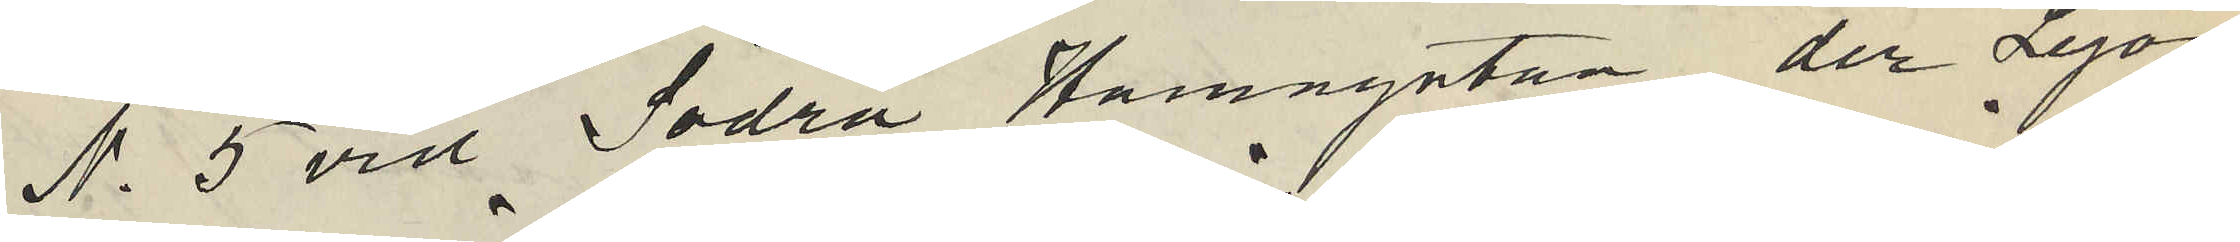No 5 vid Södra Hamngatan, der Lejon¬
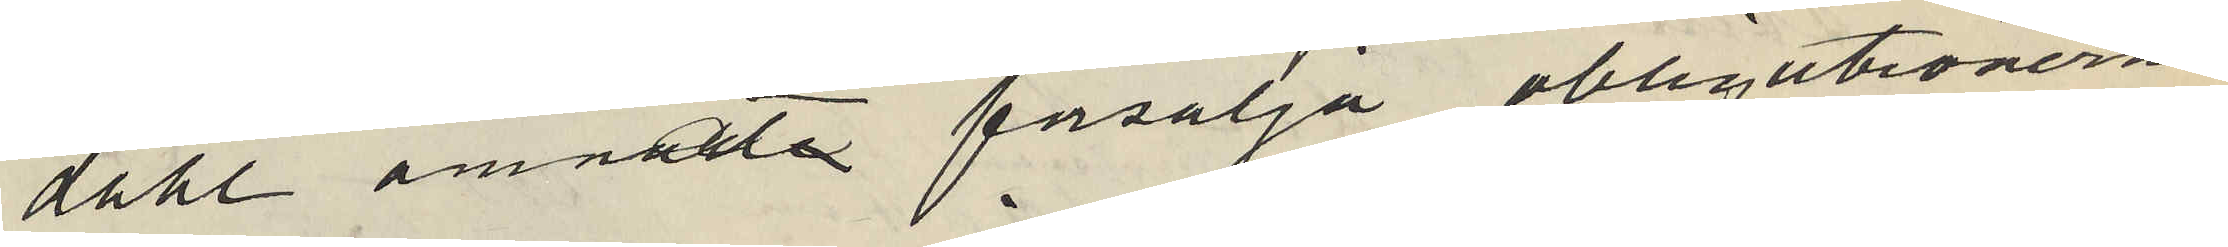dahl ämnade försälja obligationerna
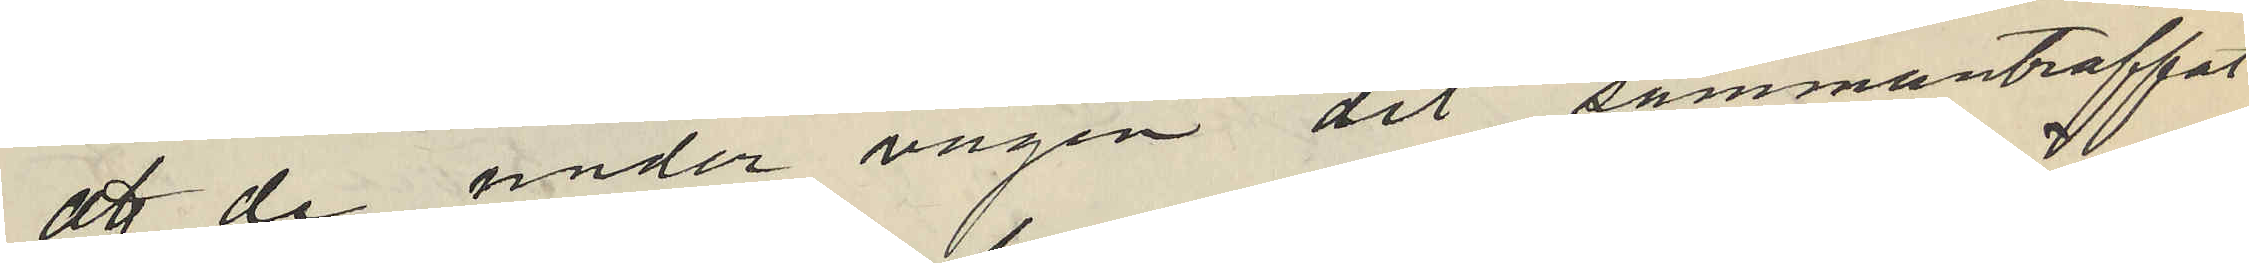att de under vägen dit sammanträffat
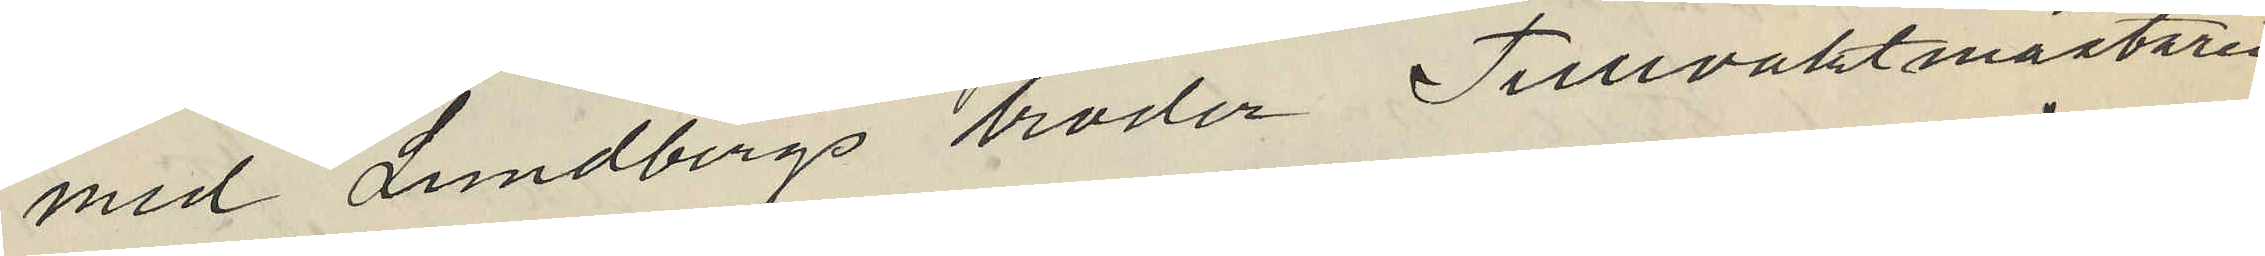med Lundbergs broder Tullvaktmästaren
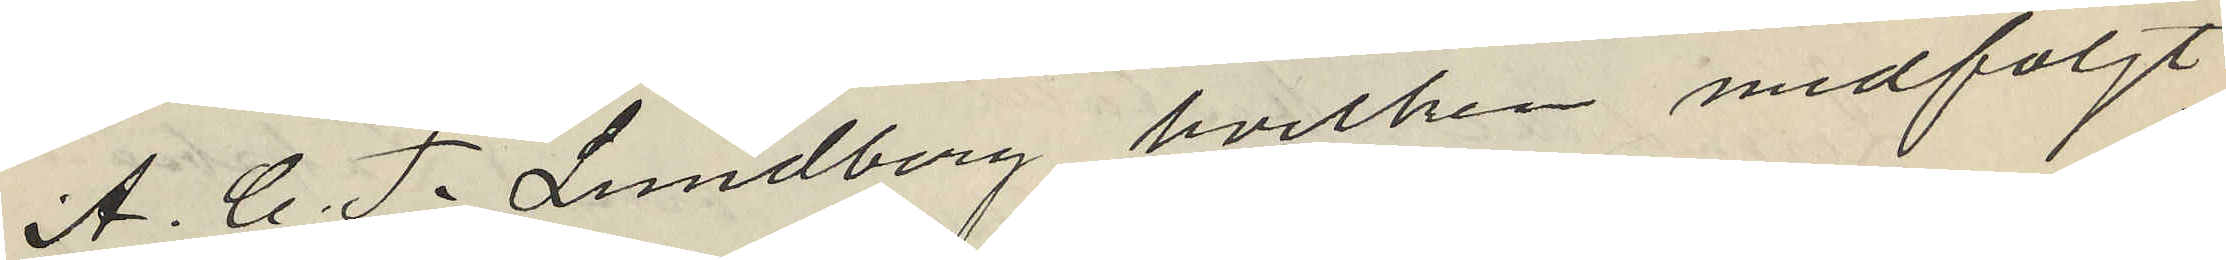A. C. J. Lundberg hvilken medföljt
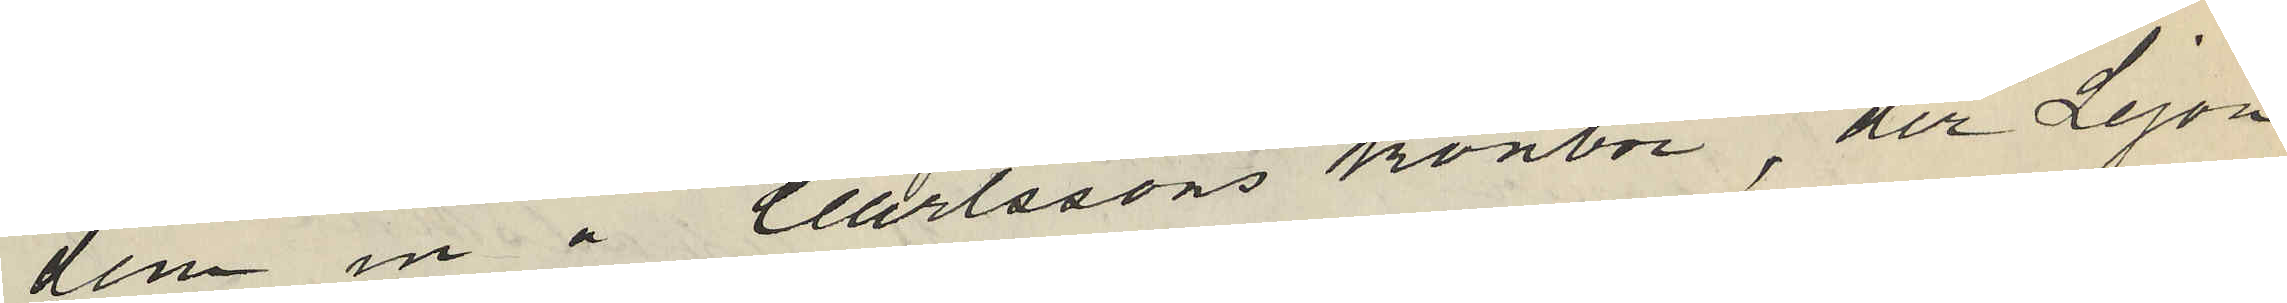dem in å Carlssons kontor der Lejon
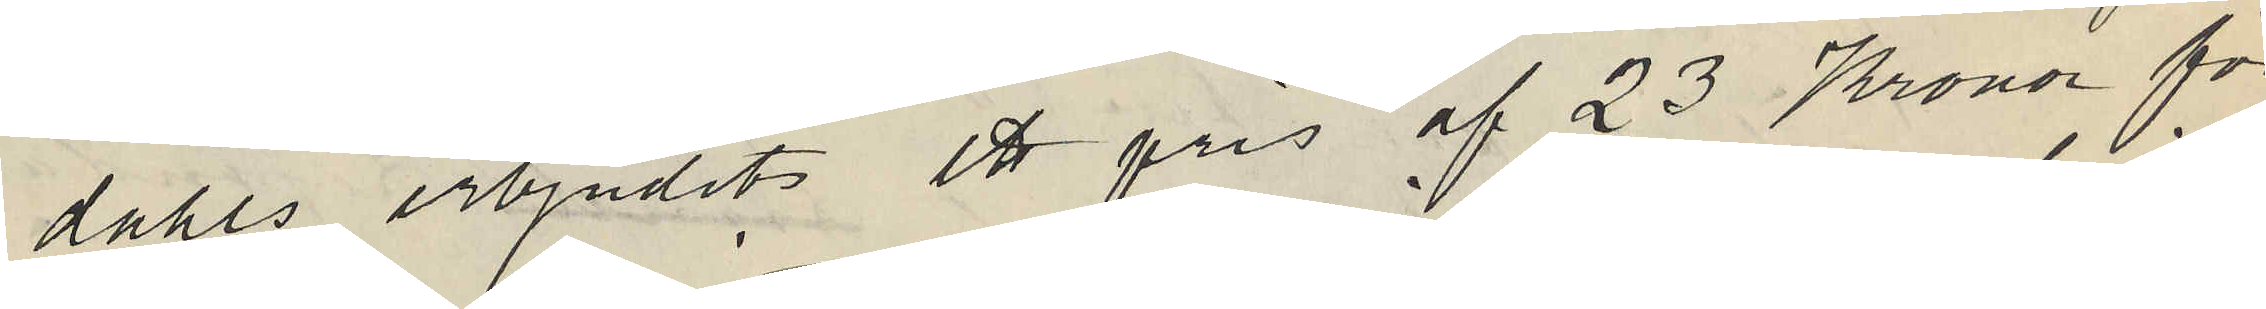dahls erbjudit ett pris af 23 Kronor för
